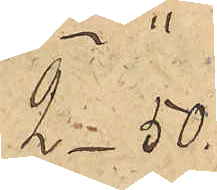2_50.
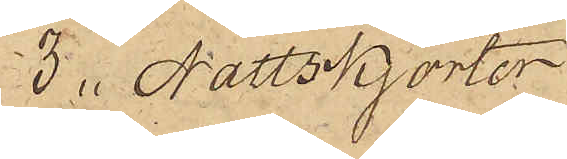3 Nattskjortor
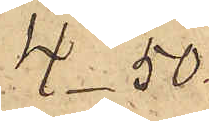4_50
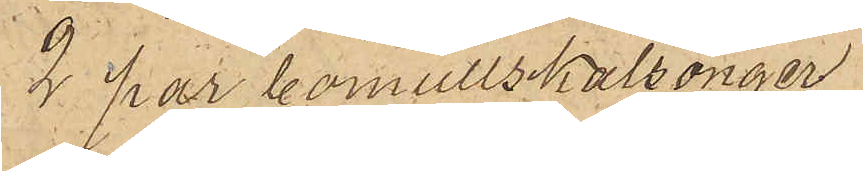2 par bomullskalsonger
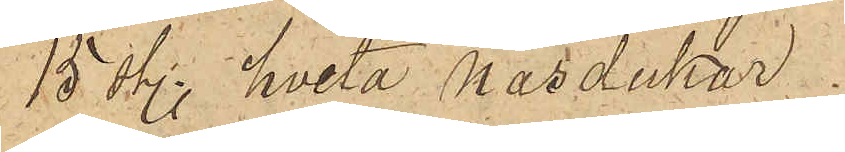15 sty. hvita näsdukar
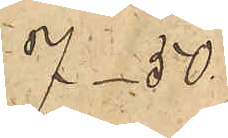7_50
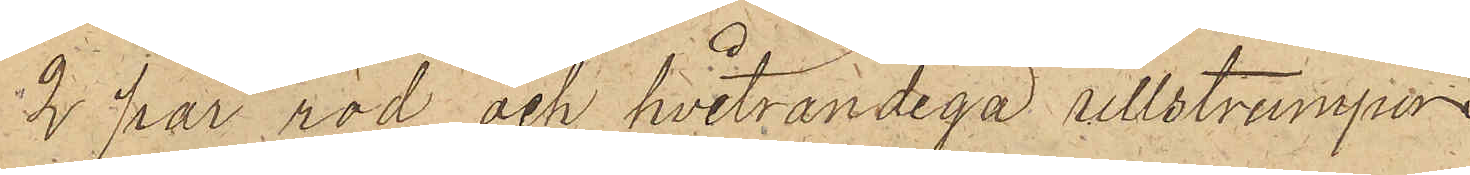2 par röd och hvitrandiga ullstrumpor
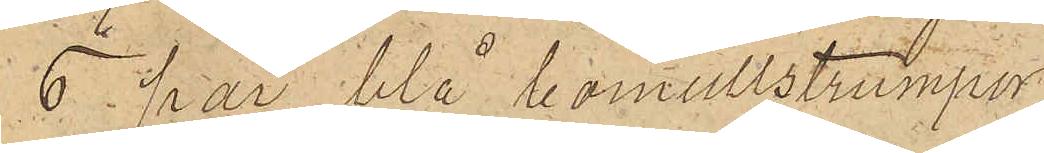6 par blå bomullstrumpor
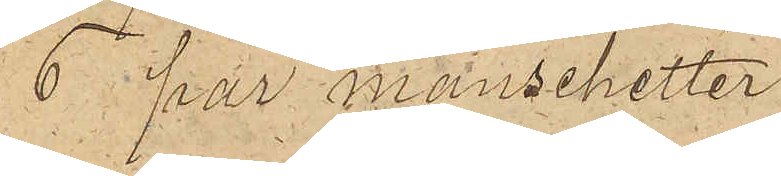6 par manschetter
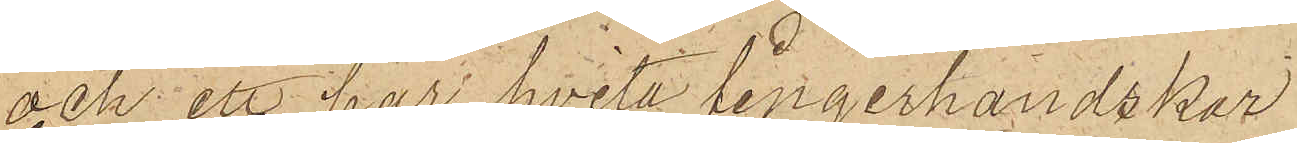och ett par hvita fingerhandskar
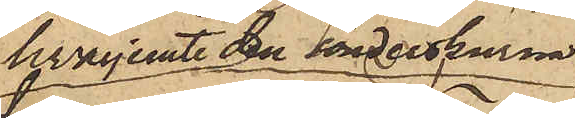hvarjemte den sönderskurna
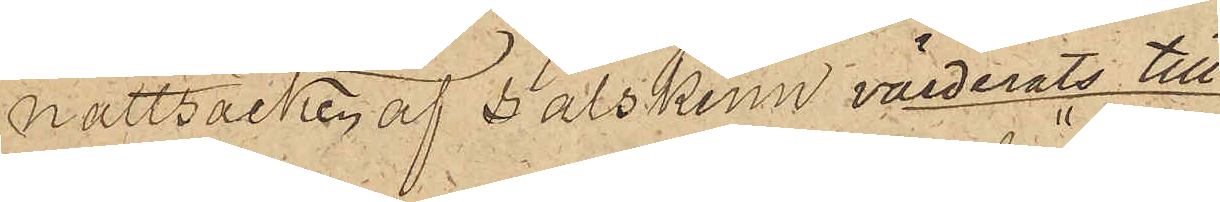nattsäcken af sälskinn, värderats till
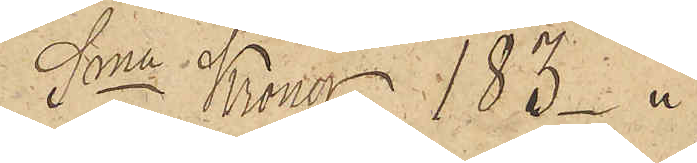Sma Kronor 183 
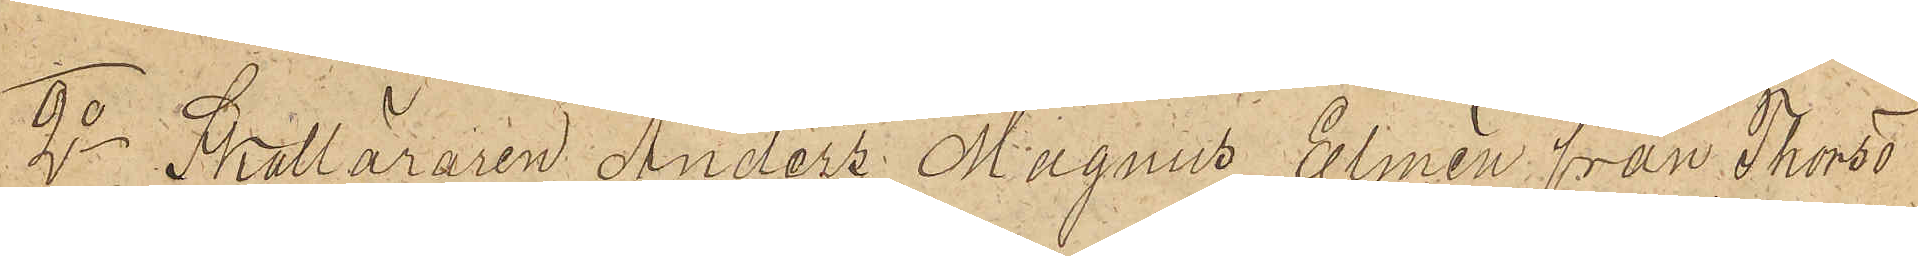2o Skolläraren Anders Magnus Elmén från Thorsö
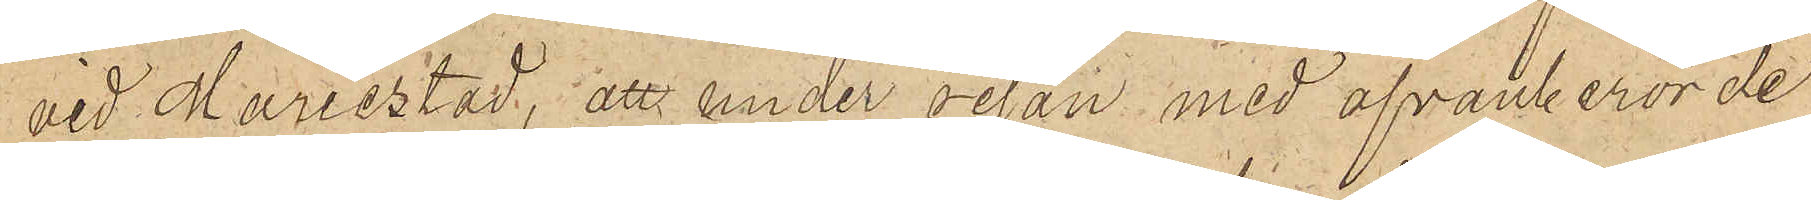vid Mariestad, att under resan med ofvanberörde
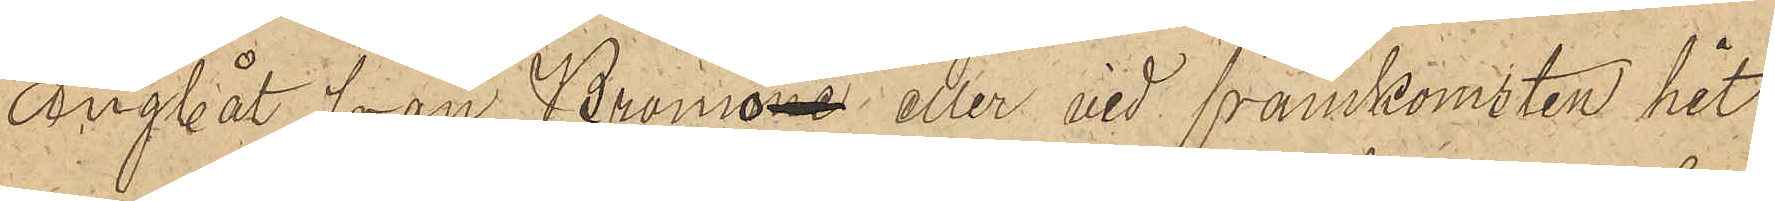ångbåt från Bromö eller vid framkomsten hit
